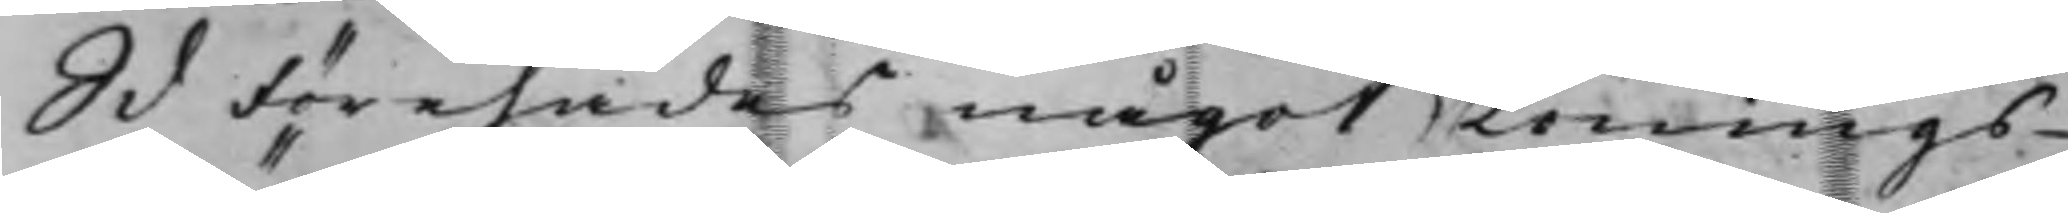S d Förehades något Lönings¬
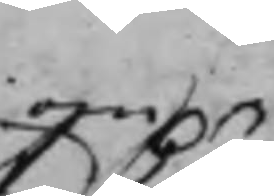om
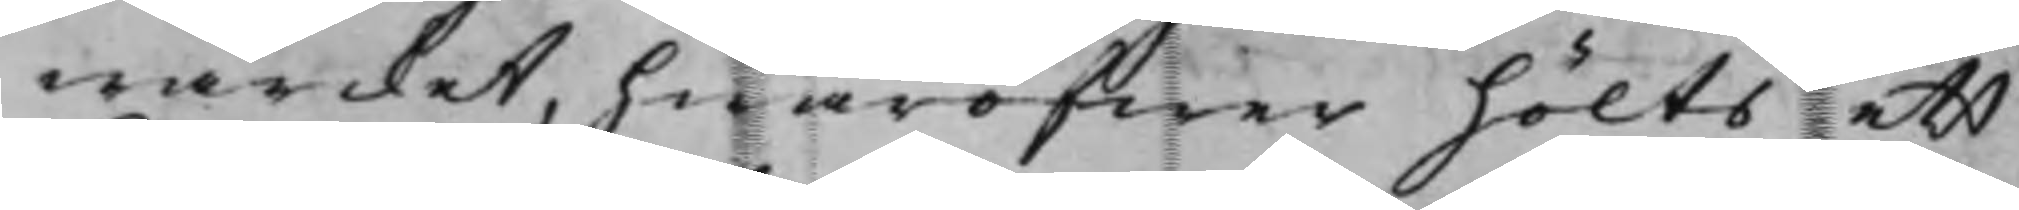wärcket, hwaröfwer hölts ett
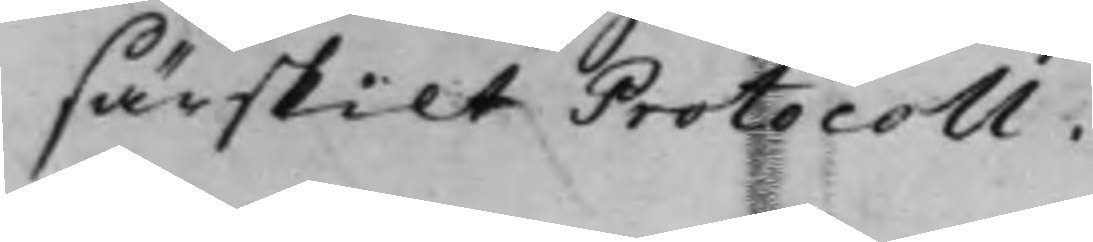särskilt Protocoll.
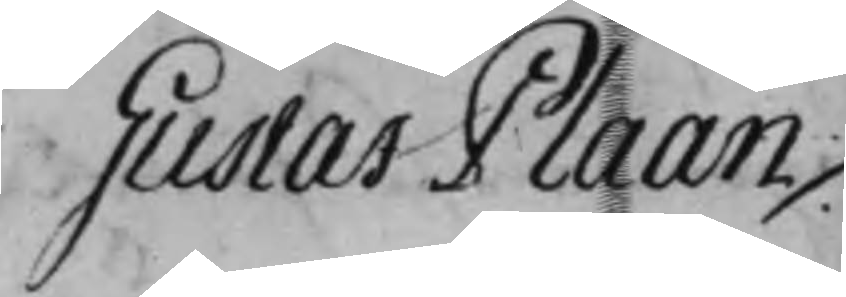Gustaf Plaan ./.
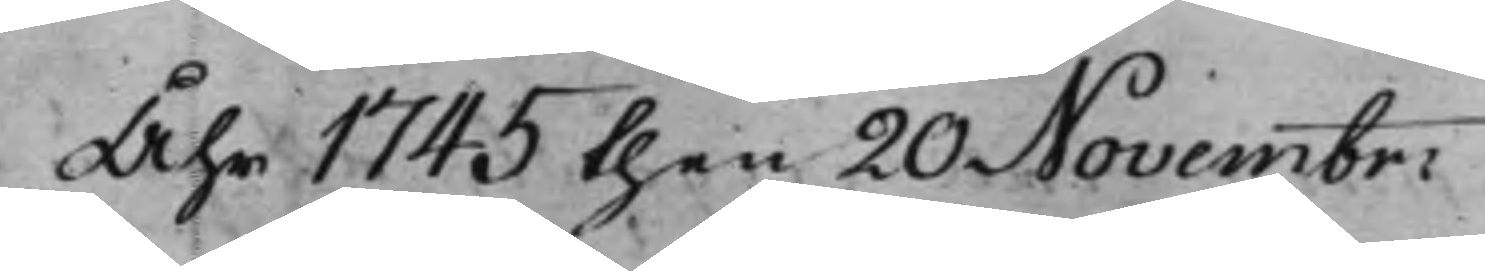Åhr 1745 then 20 Novembr:
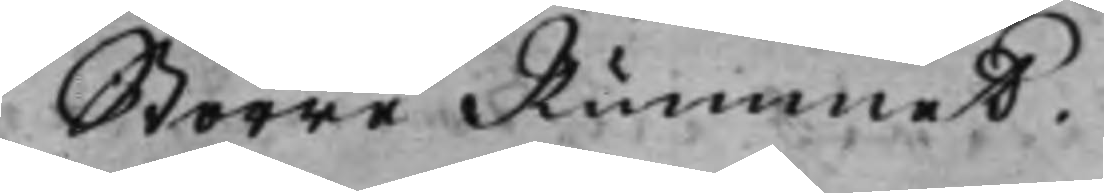Större Rummet.
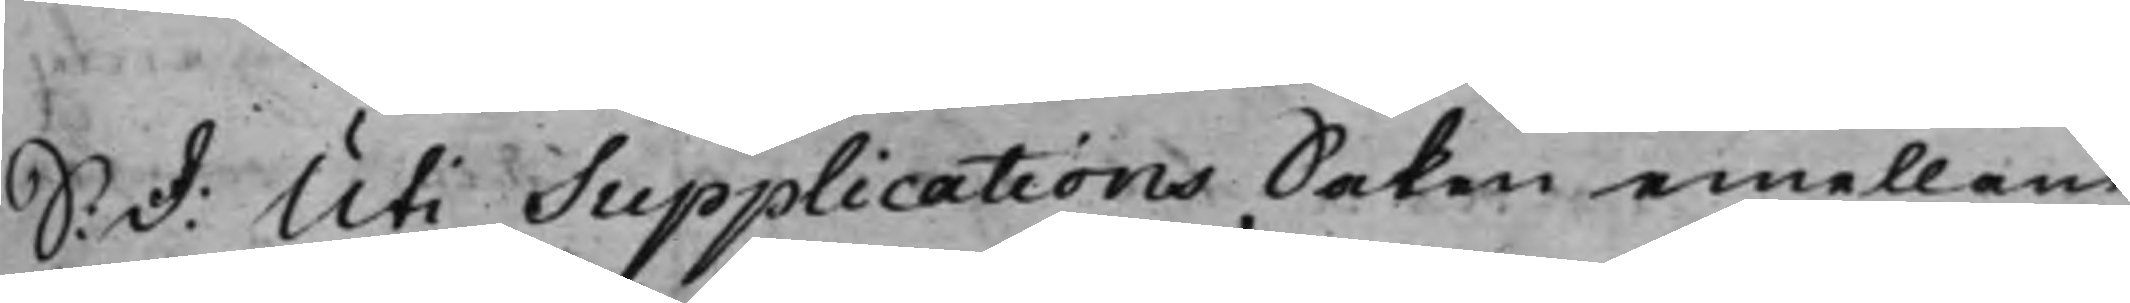S: d: Uti Supplications Saken emellan
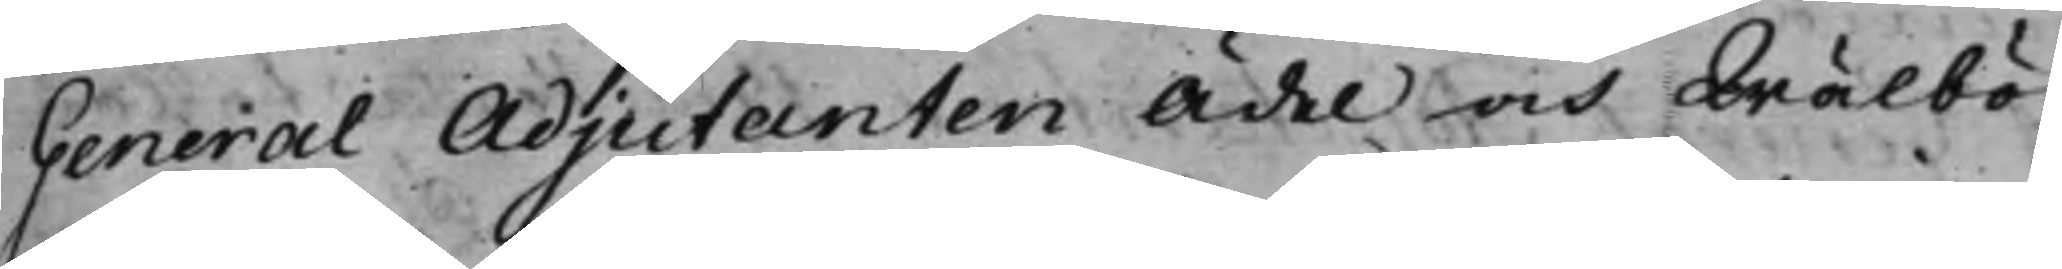General Adjutanten Ädel och Wälbör¬
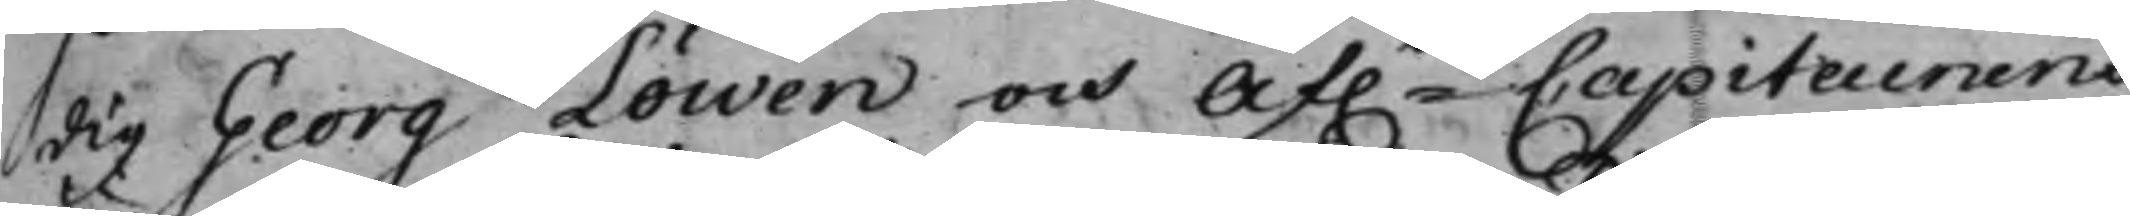dig Georg Löwen och af.ne Capitainens
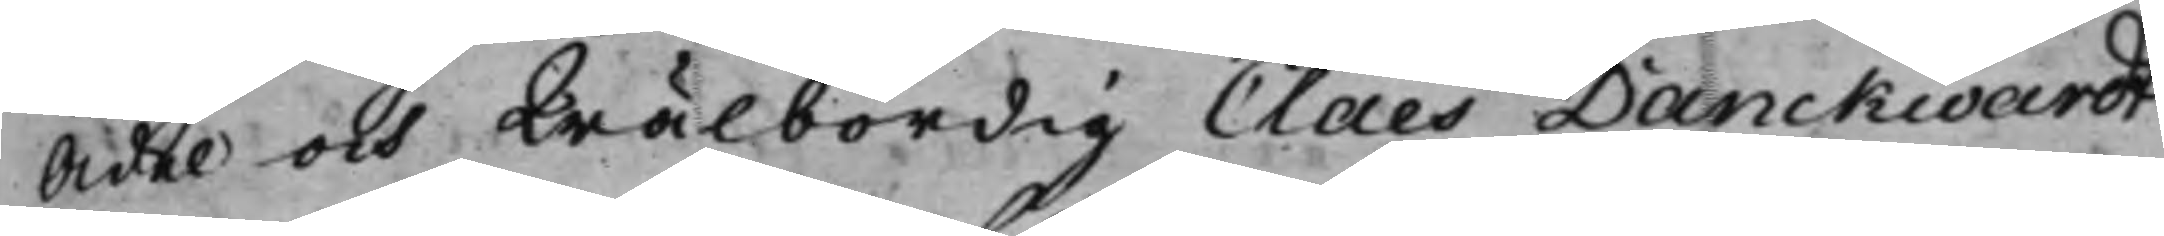Ädel och Wälbördig Claes Danckwardt
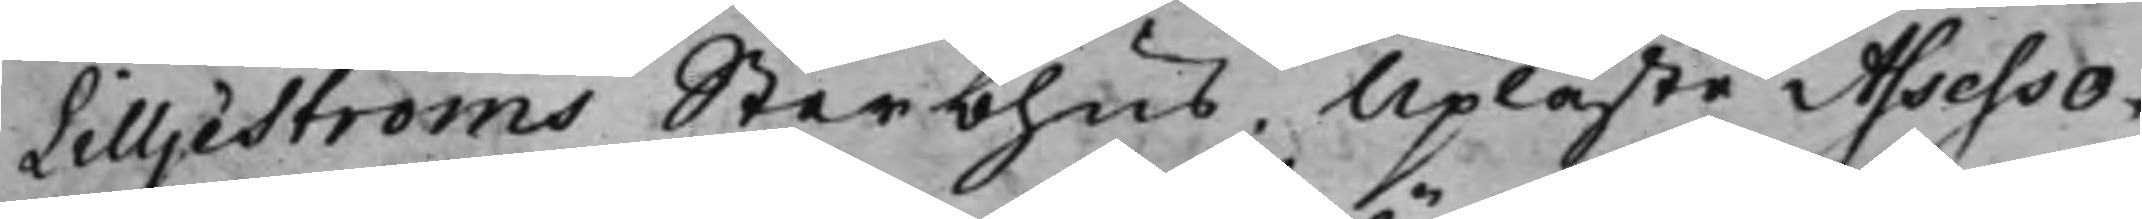Lilljeströms Sterbhus; Upläste Assesso¬
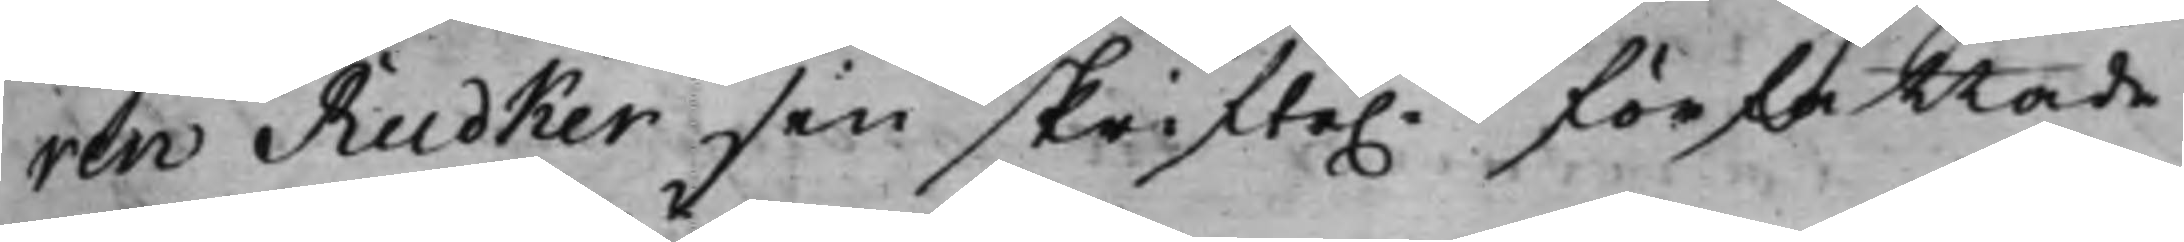ren Rüdker sin skrifte.n författade
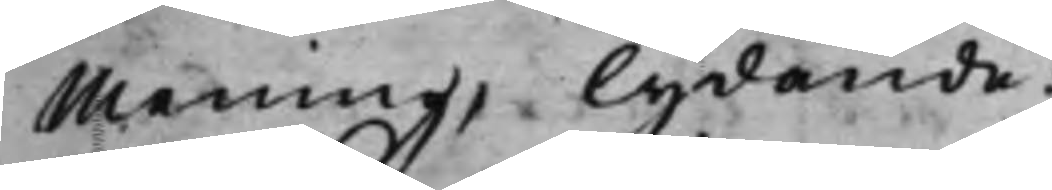mening, lydande:
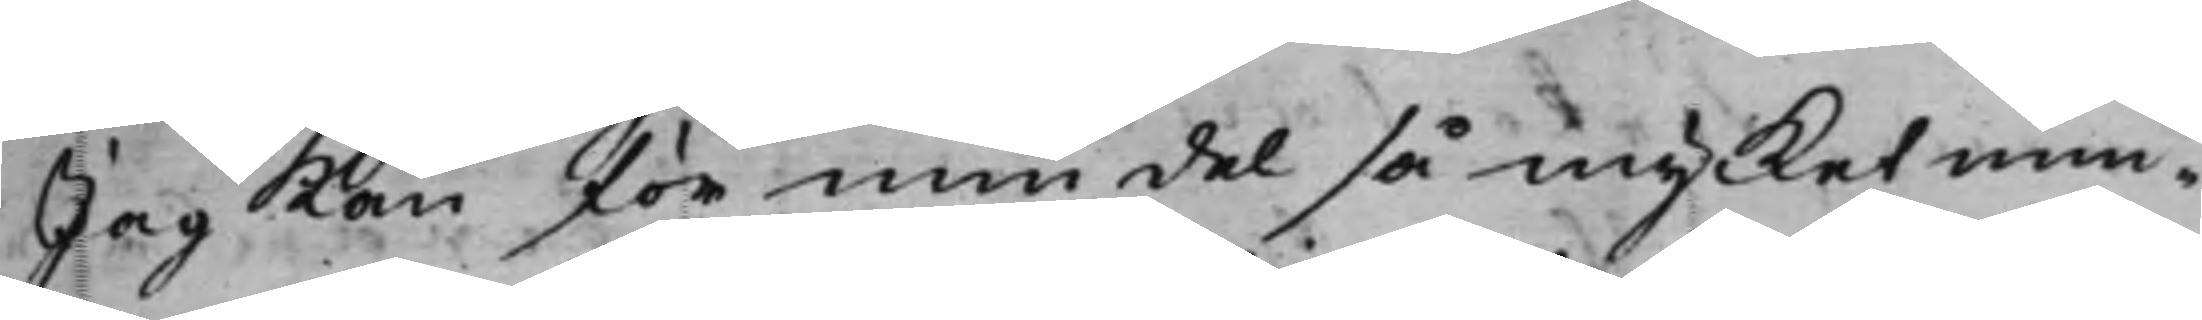Jag kan för min del så mycket min¬
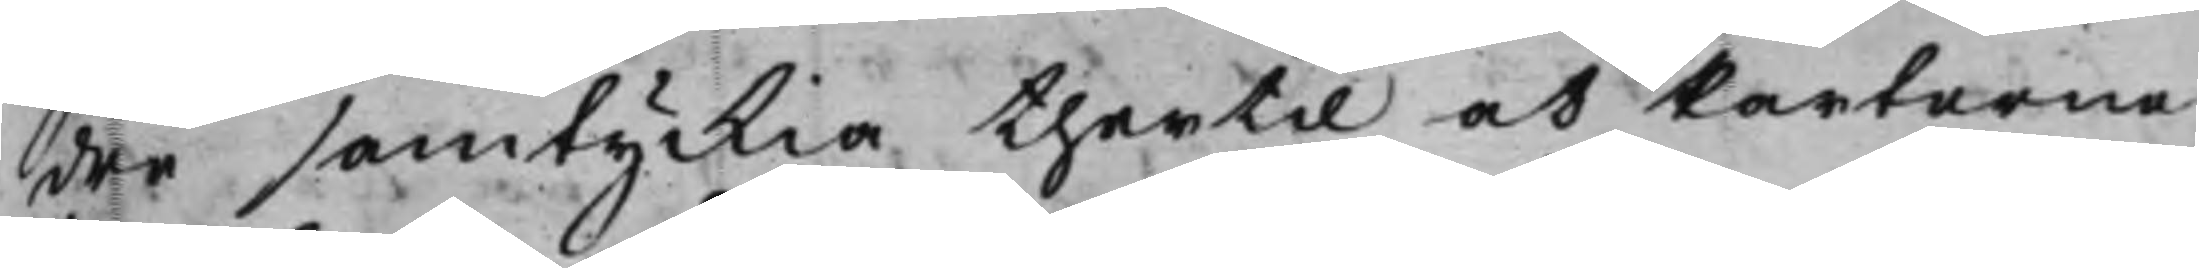dre samtyckia thertil at Parterne
